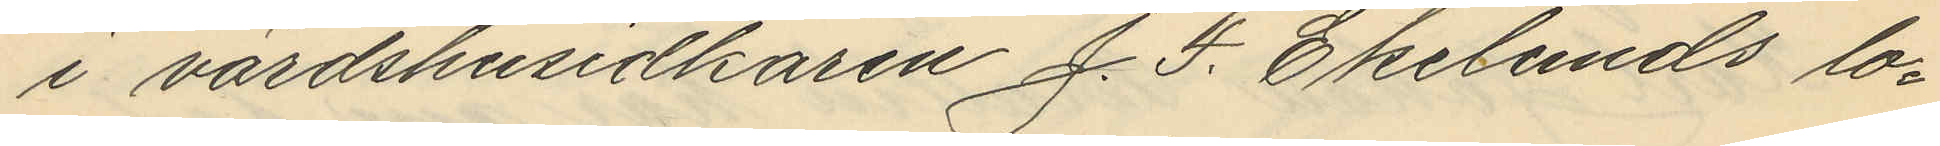i värdshusidkaren J. F. Ekelunds lo¬
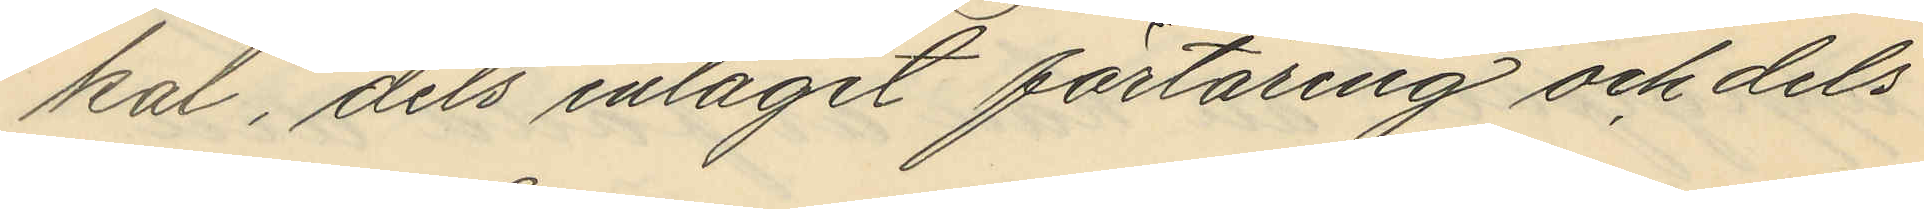kal, dels intagit förtäring och dels
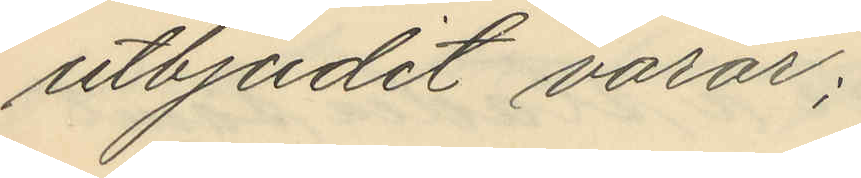utbjudit varar;
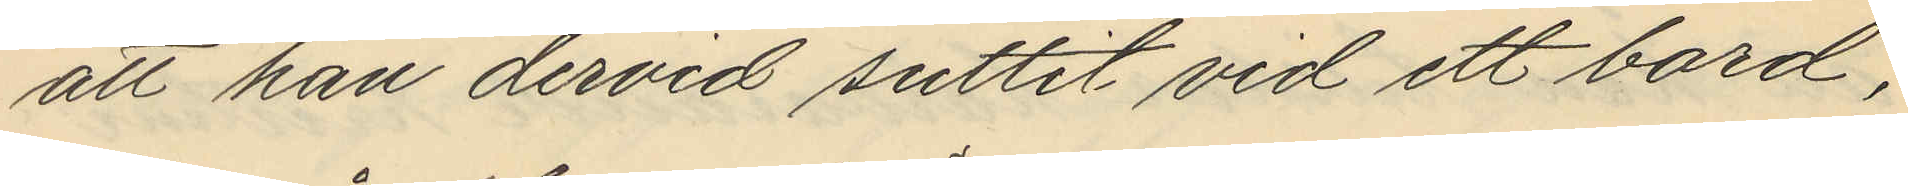att han dervid suttit vid ett bord,
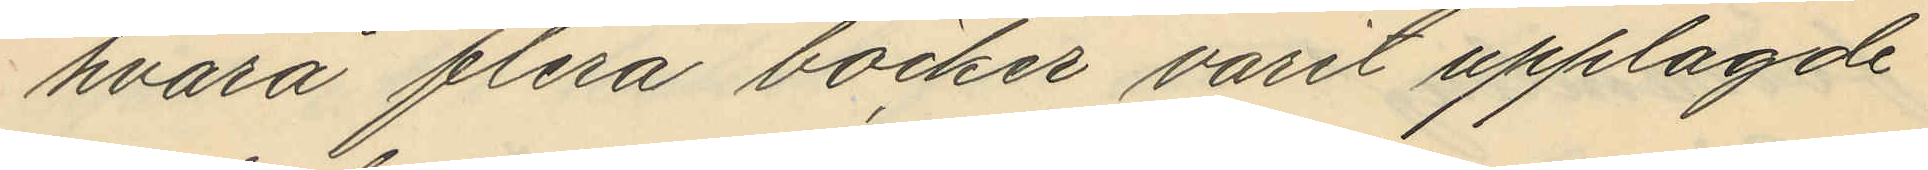hvarå flera böcker varit upplagde
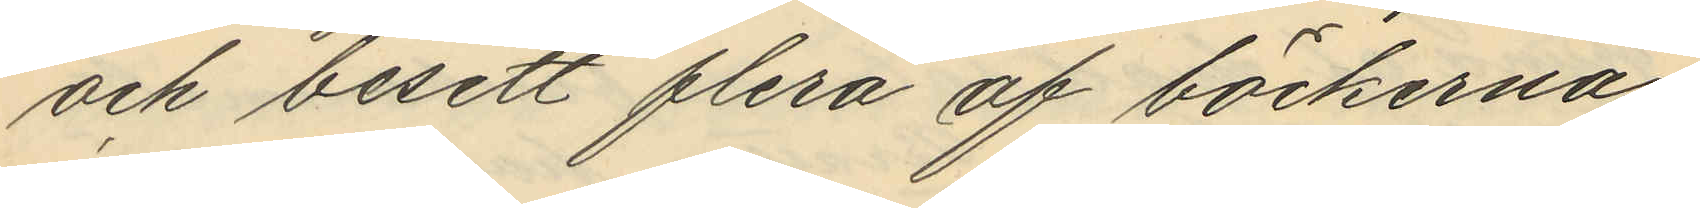och besett flera af böckerna;
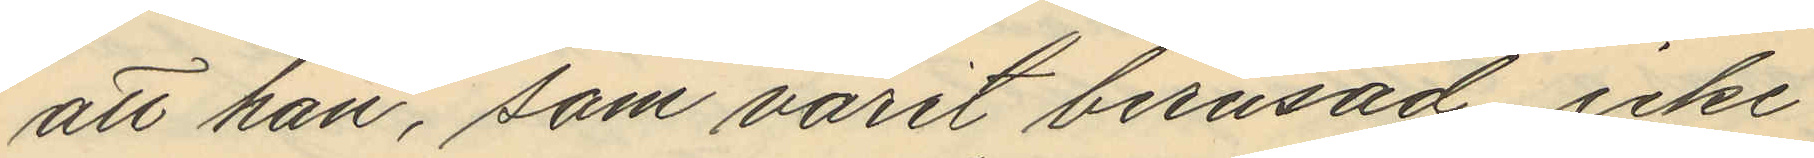att han, som varit berusad icke
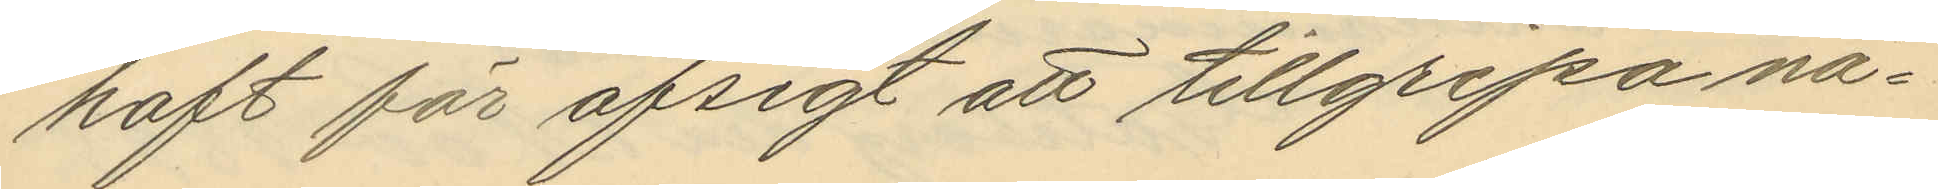haft för afsigt att tillgripa nå¬
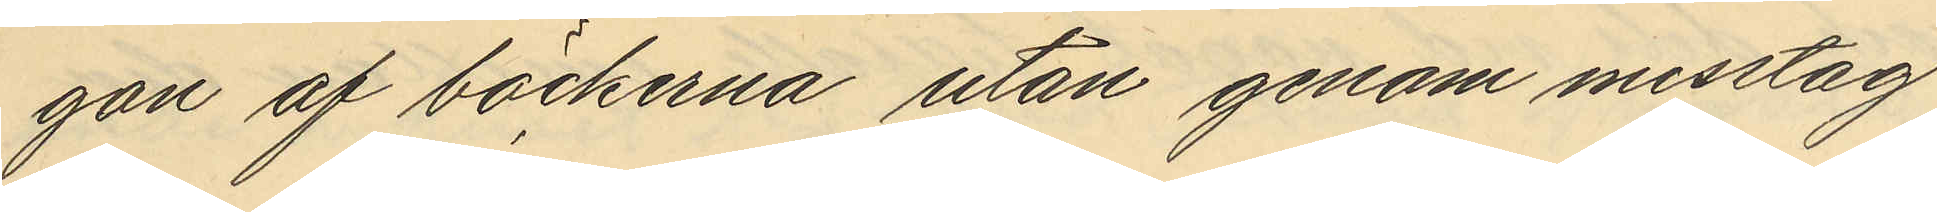gon af böckerna utan genom misstag
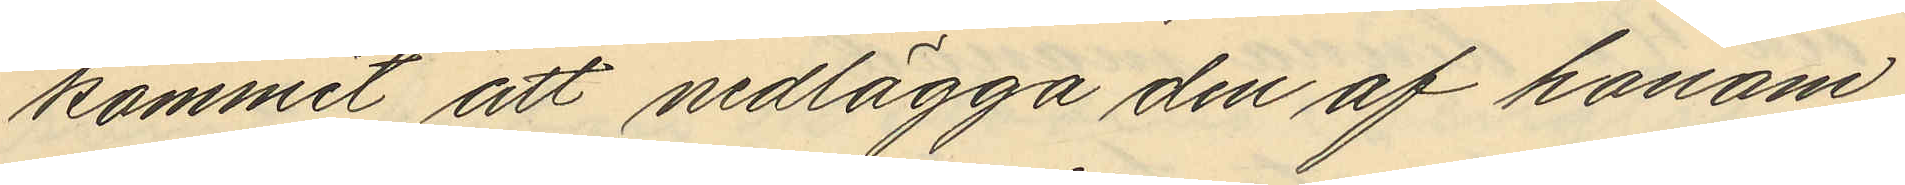kommit att nedlägga den af honom
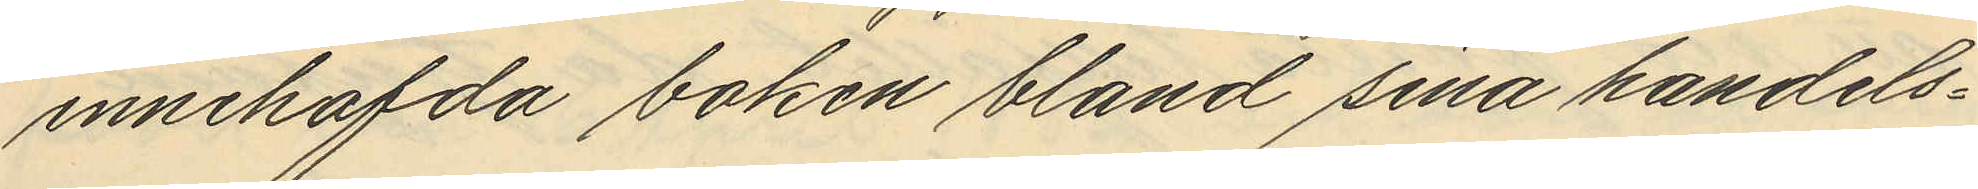innehafda boken bland sina handels¬
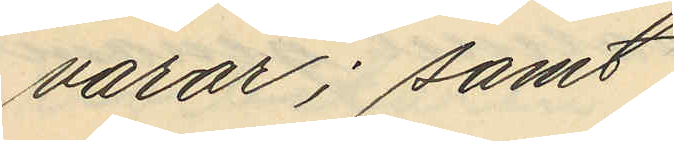varor; samt
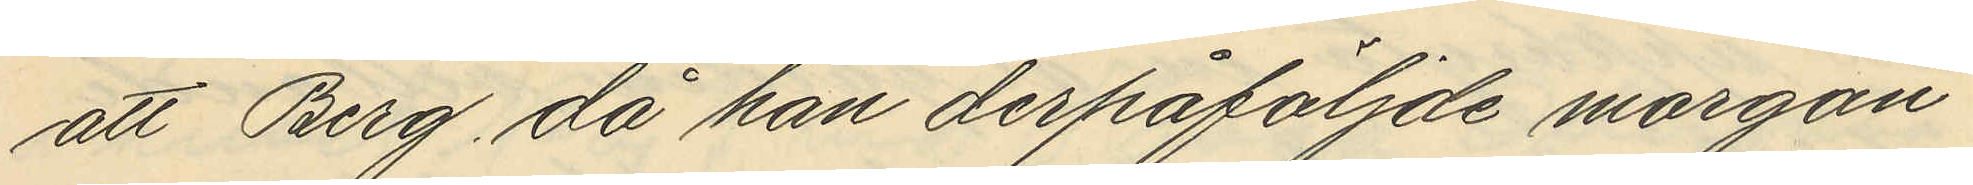att Berg, då han derpåföljnde morgon
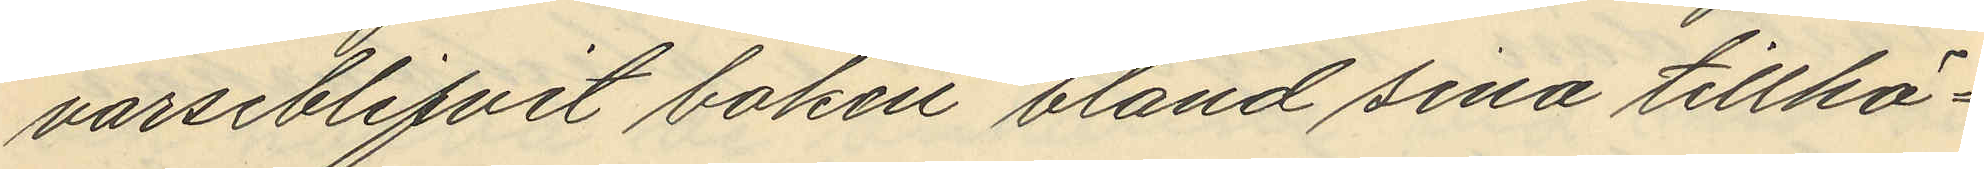varseblifvit boken bland sina tillhö¬
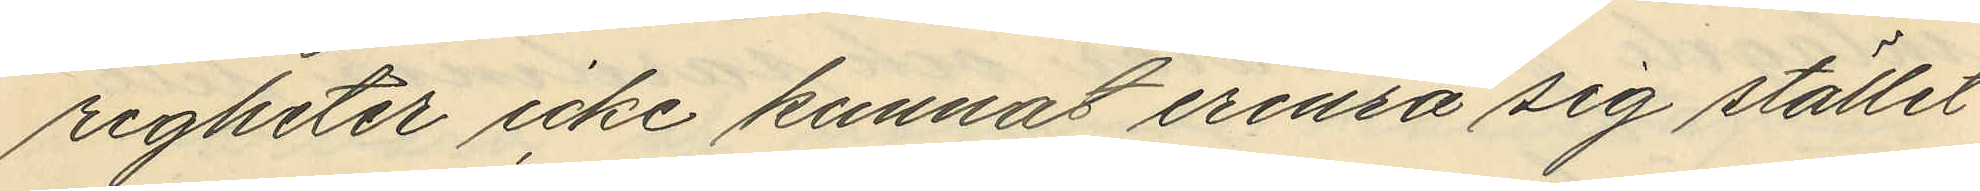righeter icke kunnat erinra sig stället
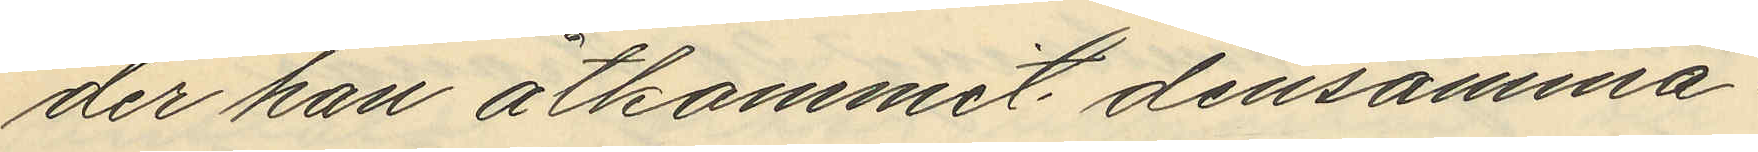der han åtkommit densamma.
